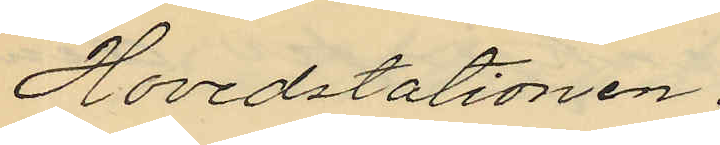Hovedstationen.
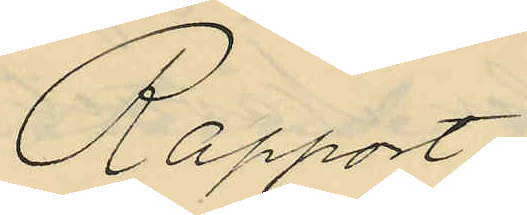Rapport
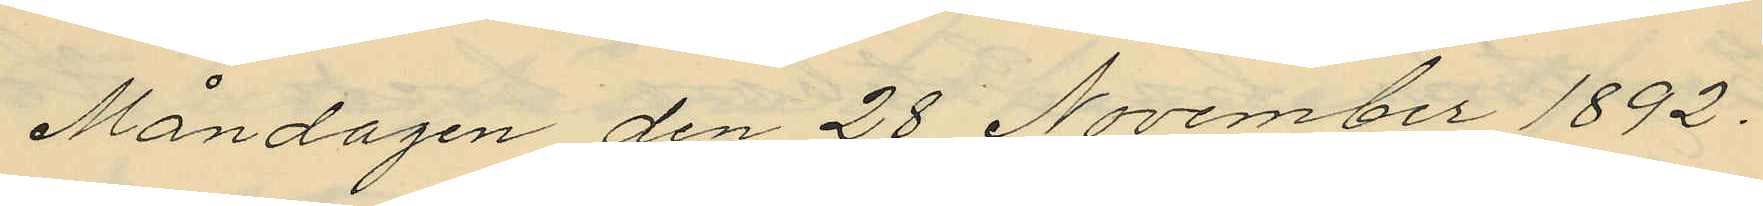Måndagen den 28 November 1892.
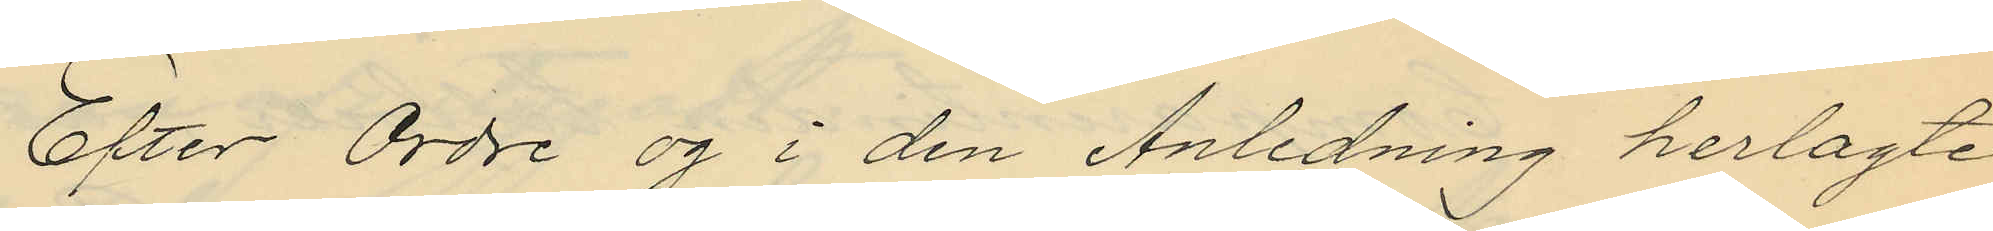Efter Ordre og i den Anledning herlagte
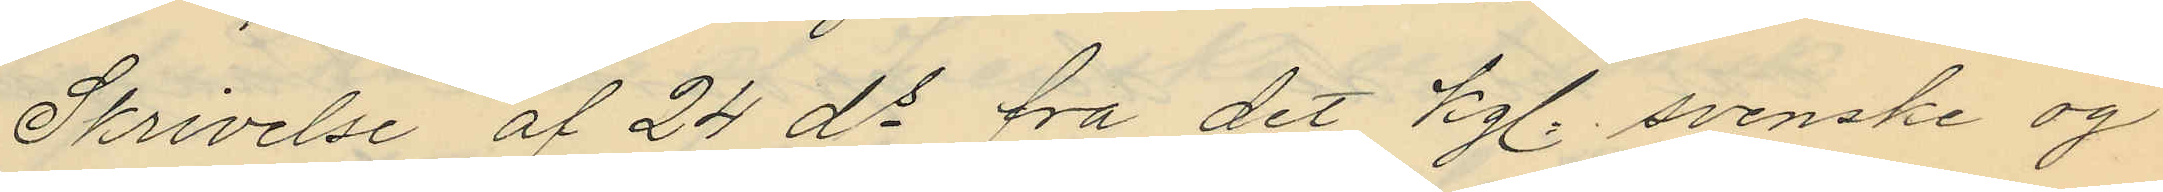Skrivelse af 24 ds fra det kgl. svenske og
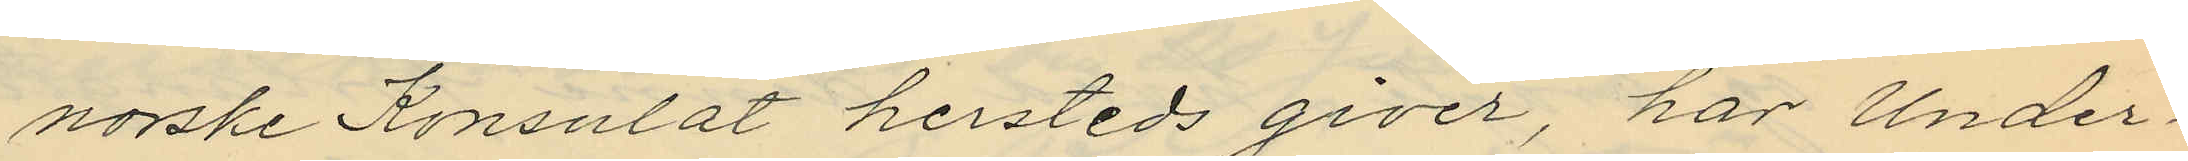norske Konsulat hersteds giver, har Under¬
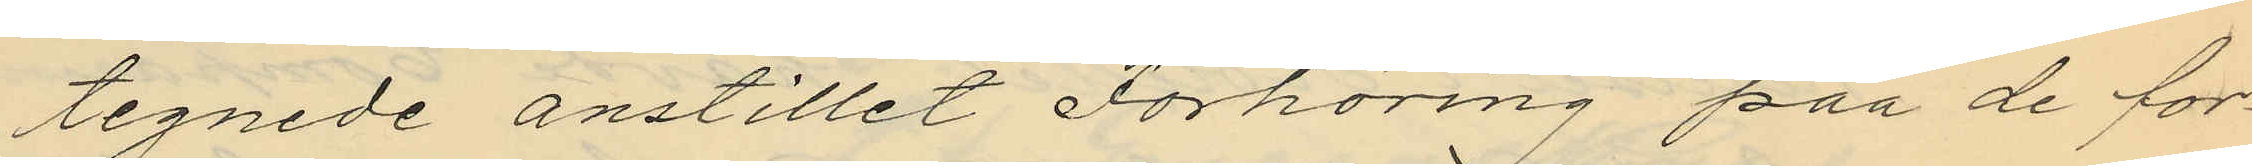tegnede anstillet Forhöring paa de for¬
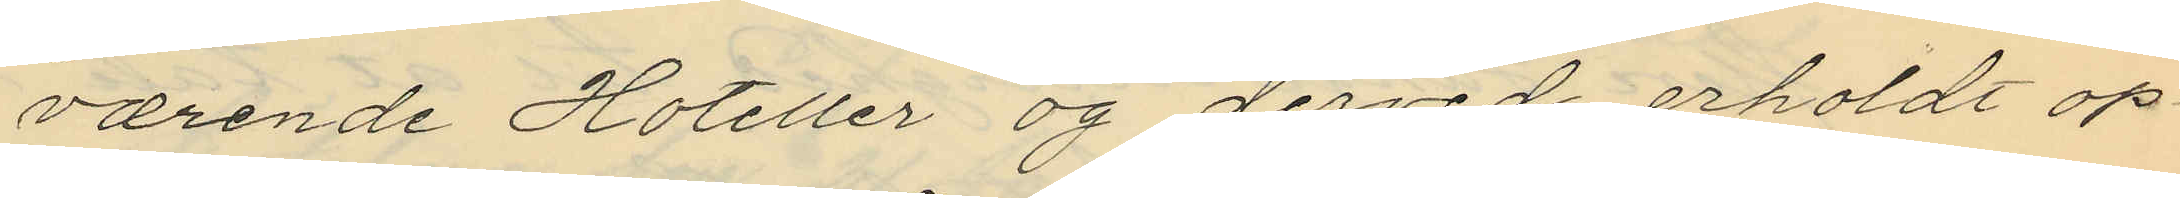værende Hoteller og derved erholdt op¬
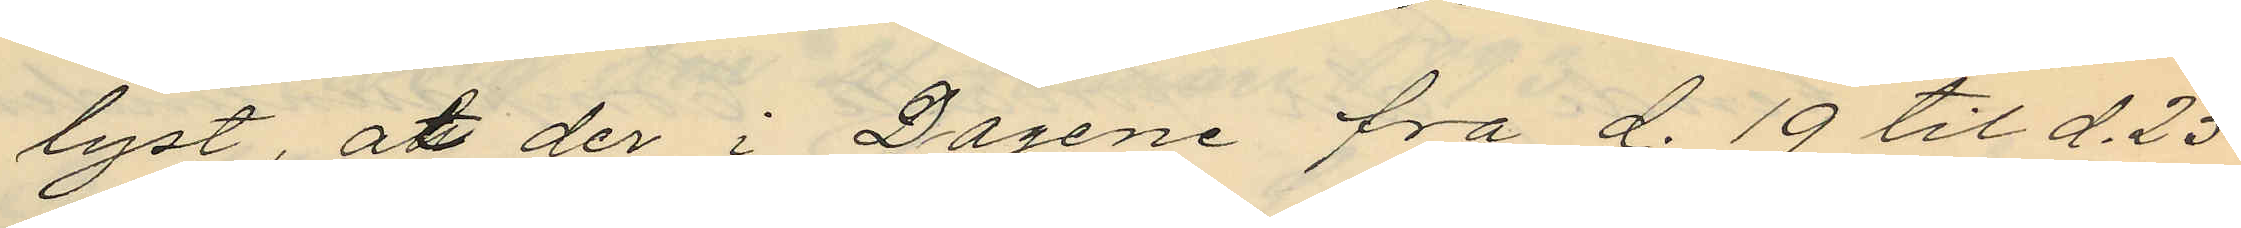lyst, att der i Dagene fra d. 19 til d.23
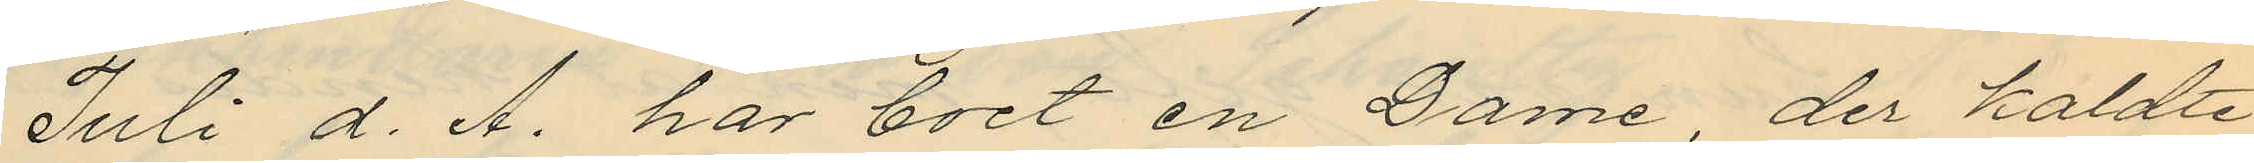Juli d. A. har boet en Dame, der kaldte
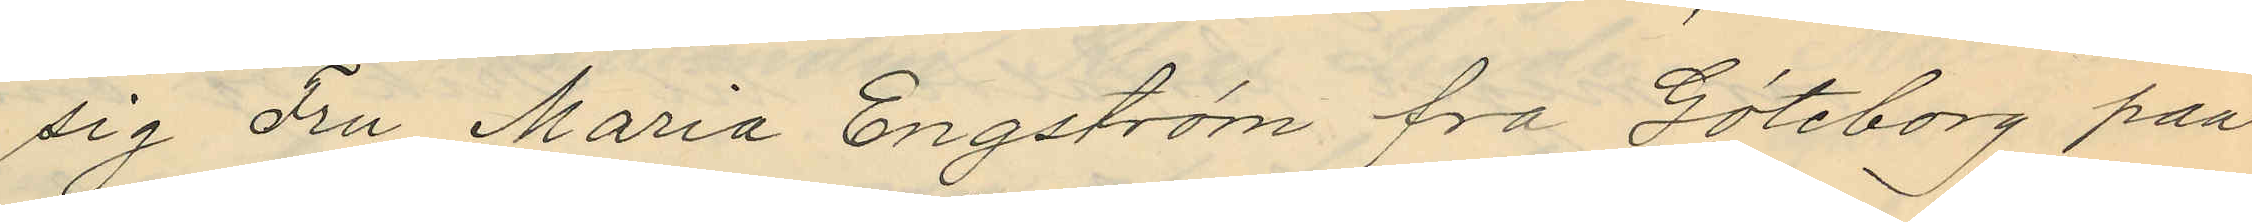sig Fru Maria Engström fra Göteborg paa
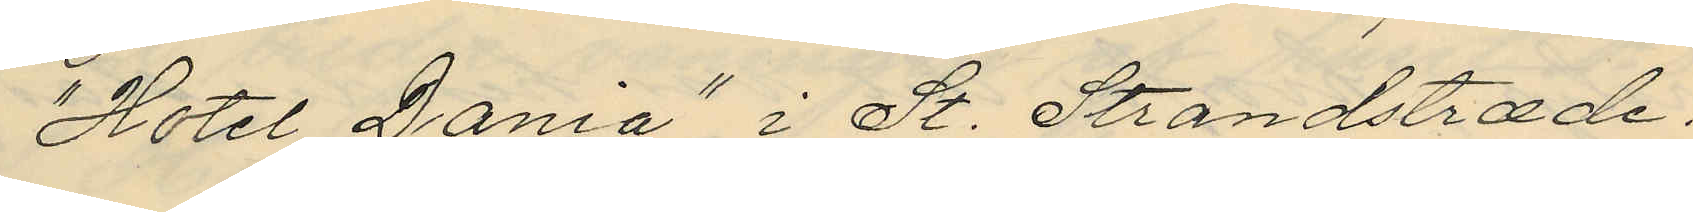"Hotel Dania" i St. Strandstræde.
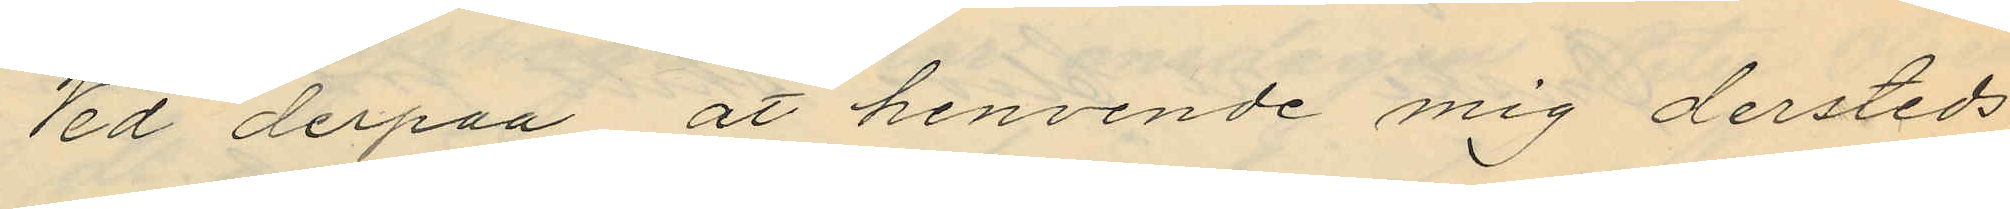Ved derpaa at henvende mig dersteds
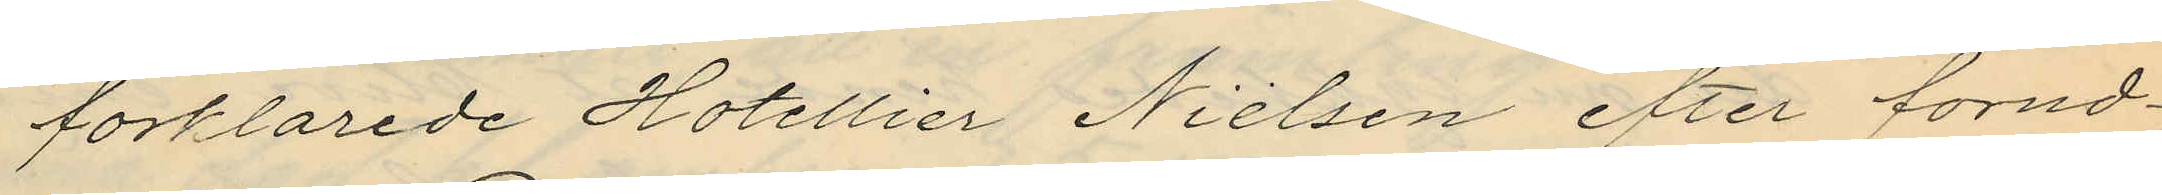forklarede Hotellier Nielsen efter forud¬
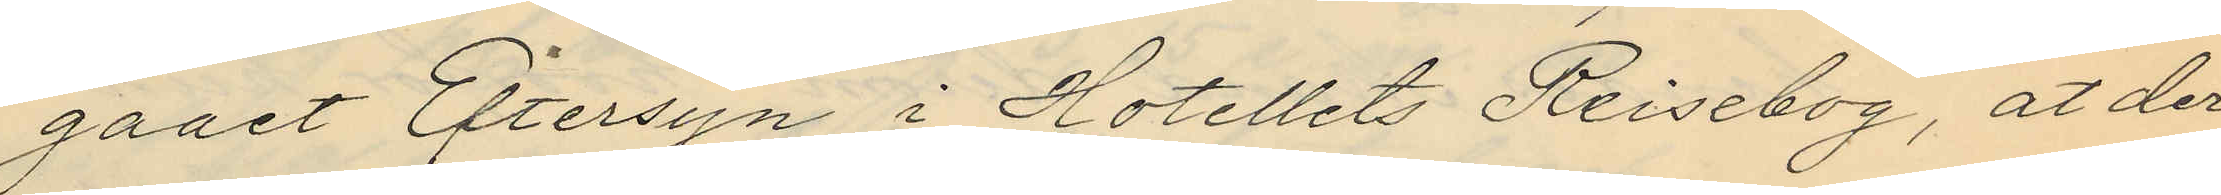gaaet Eftersyn i Hotellets Reisebog, at der
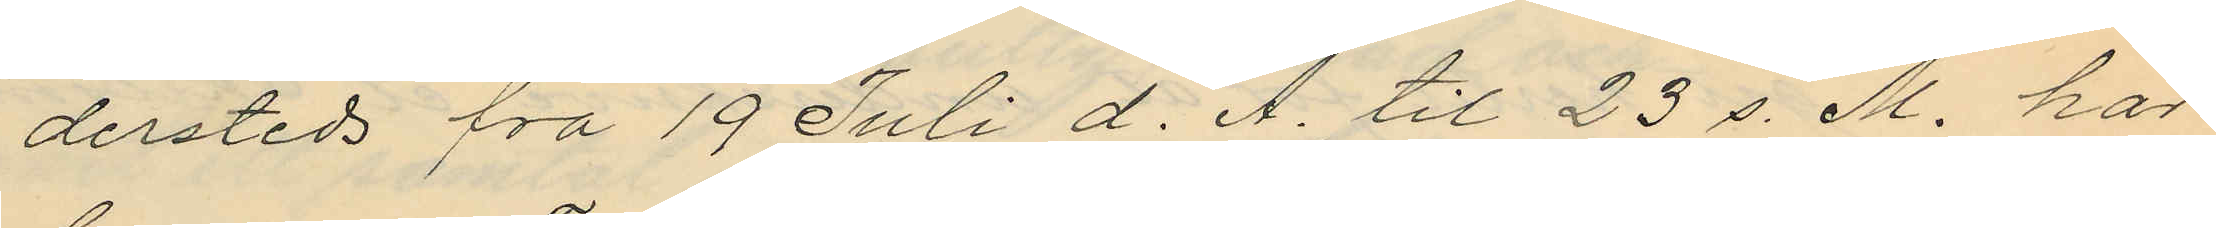dersteds fra 19 Juli d. A. til 23 s. M. har
